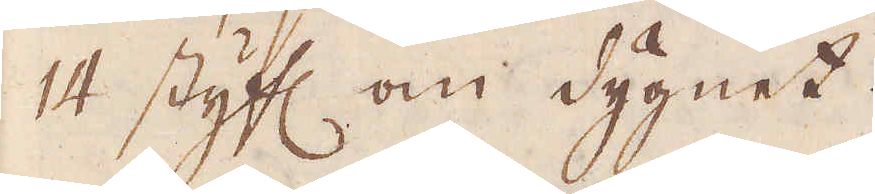14 styf:r om dygnet.
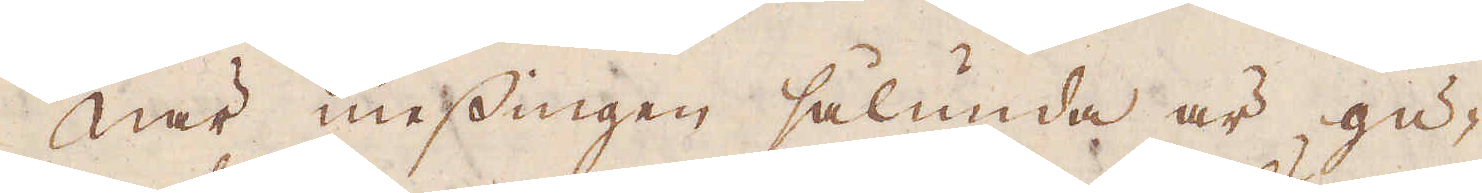När messingen sålunda är gu-
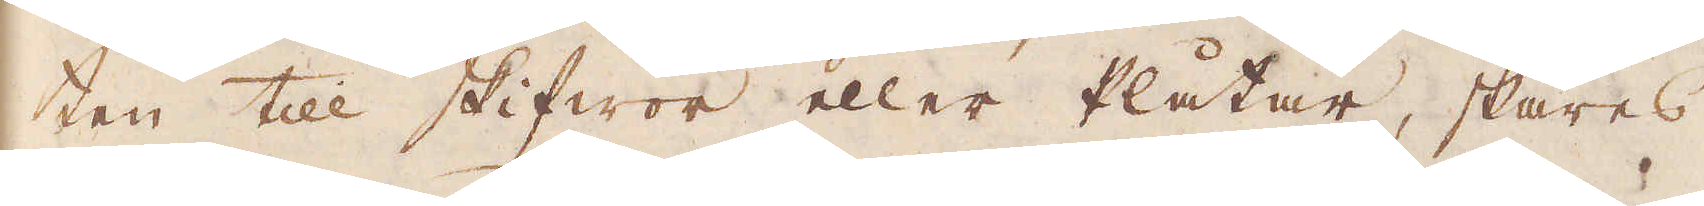ten till skifwor eller Plåtar, skäres
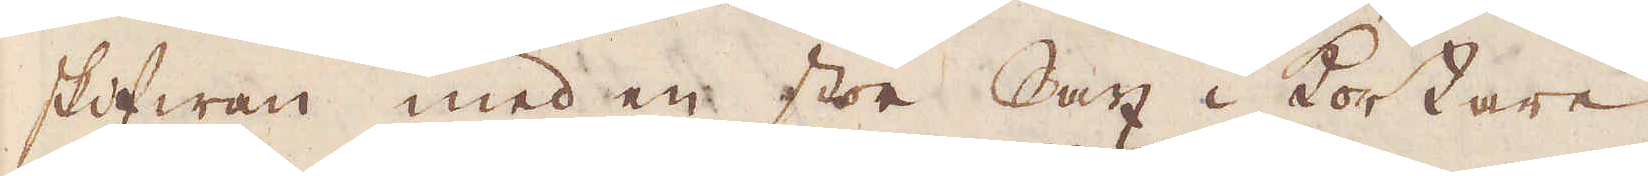skifwan med en stor Sax i kortare
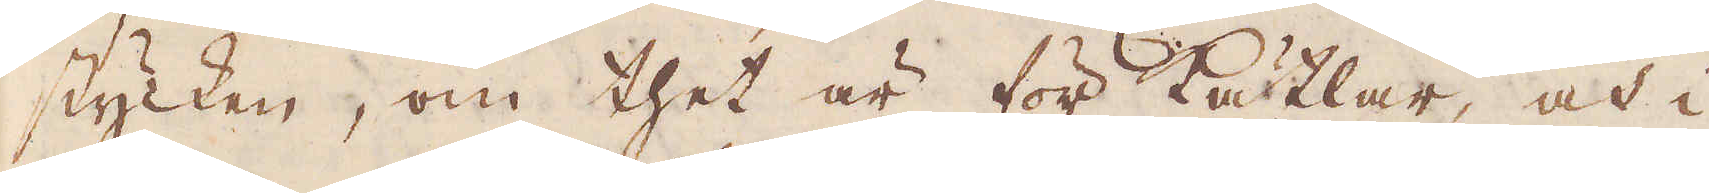stycken, om thet är för kätlar, och i
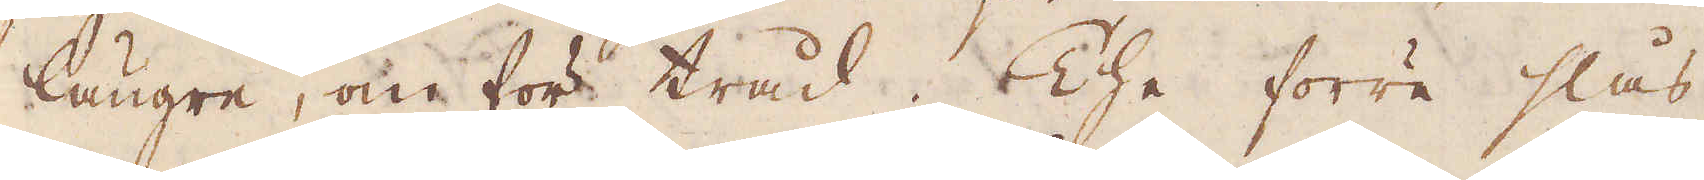längre, om för tråd. The förre slås,
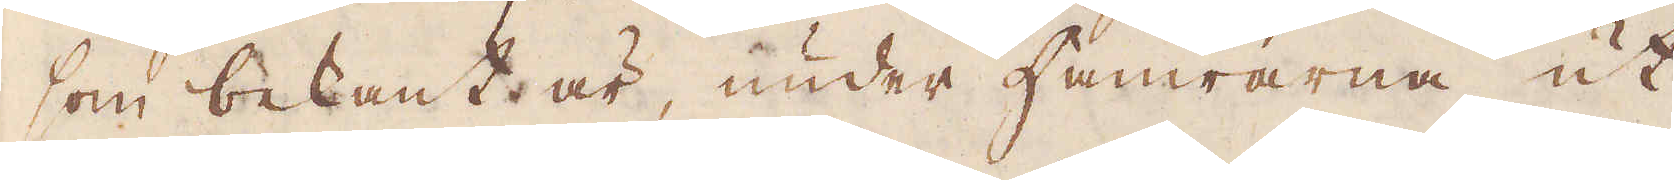som bekant är, under Hamrarna ut
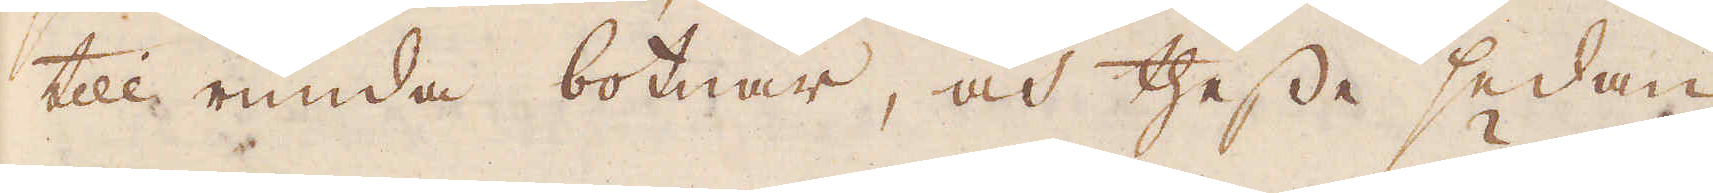till runda botnar, och thesse sedan
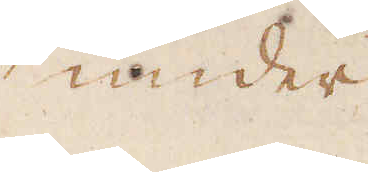under
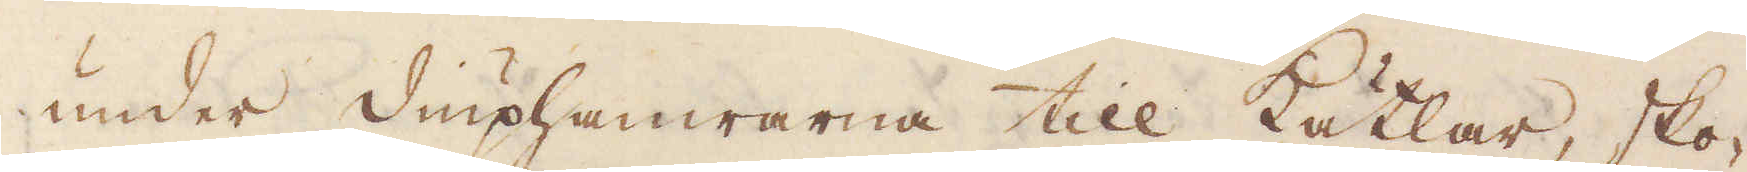under diuphamrarna till Kätlar, sko-
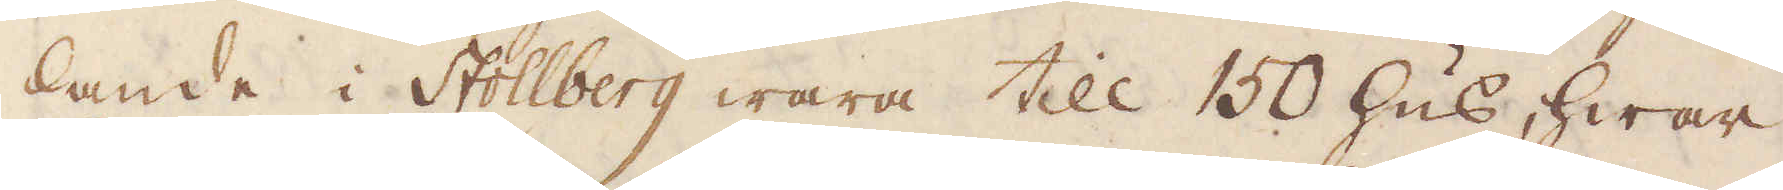lande i Stollberg wara till 150 hus, hwar
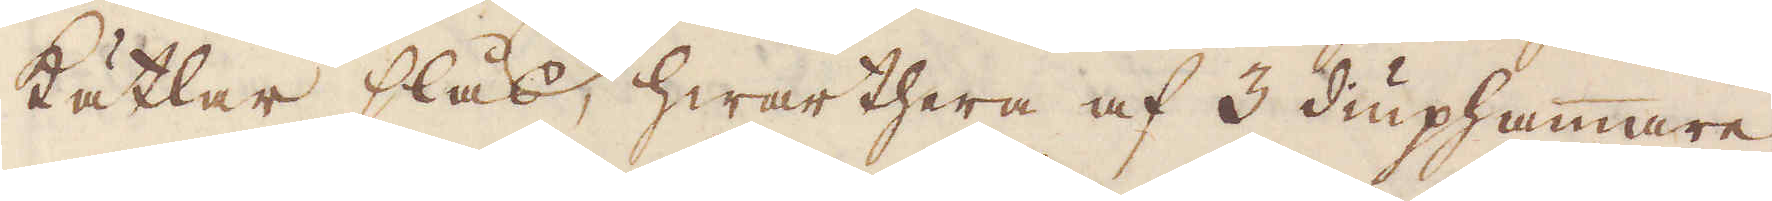kätlar slås, hwarthera af 3 diuphammare,
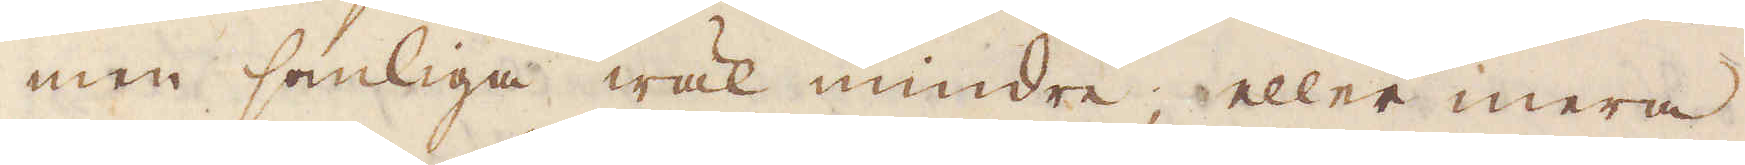men somliga wäl mindre, eller mera
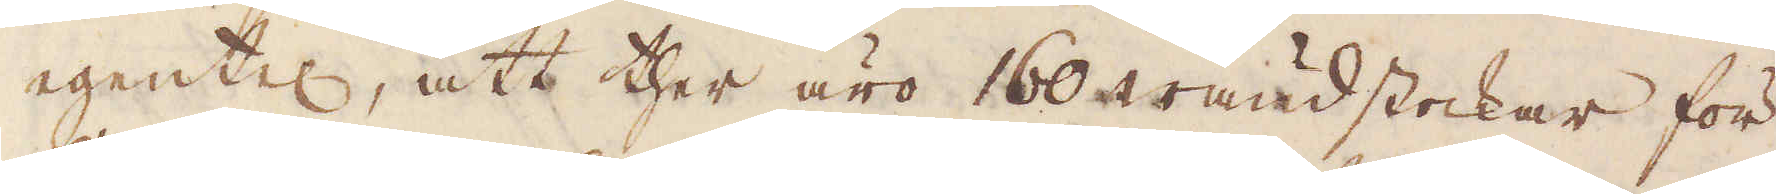egentel, att ther äro 160 wändstockar för
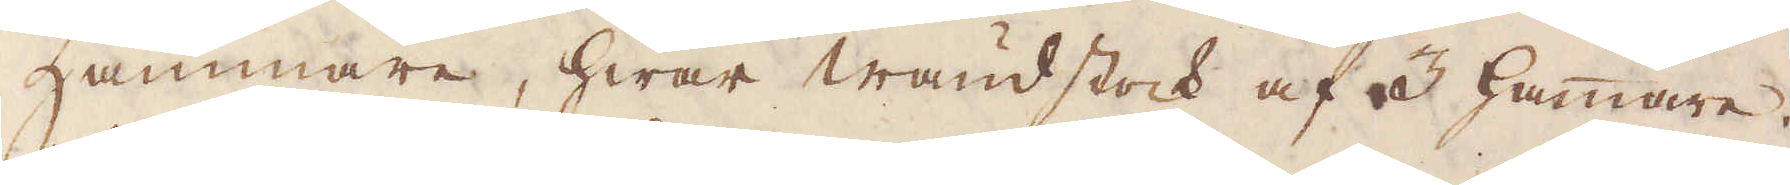Hammare, hwar wändstock af 3 hammare,
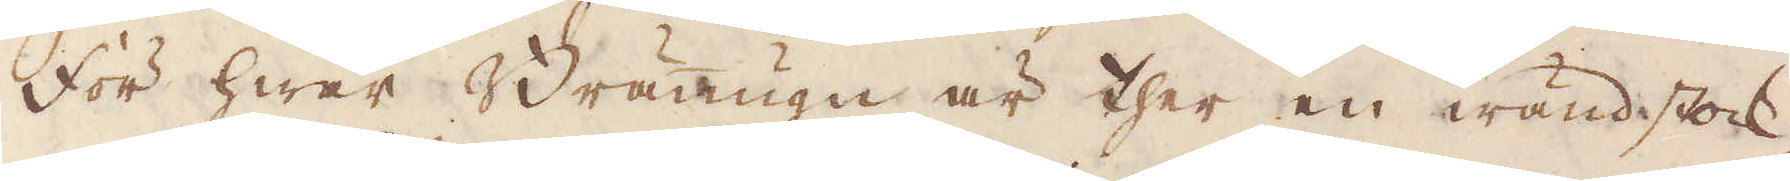för hwar Bränugn är ther en wändstock,
